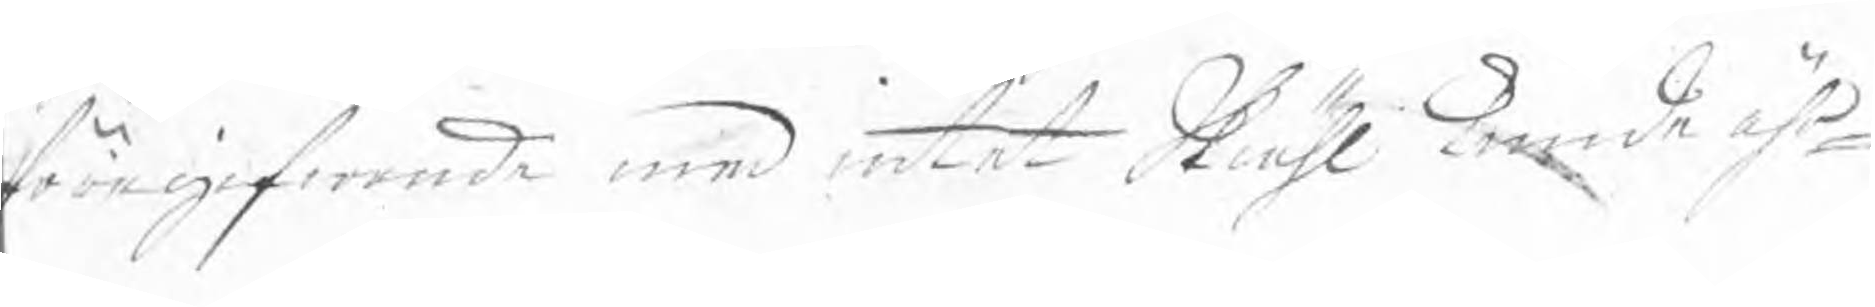föregifwande med intet Skiähl kunde ähr¬
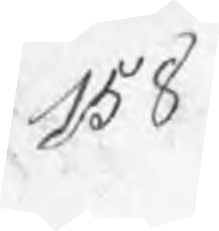158
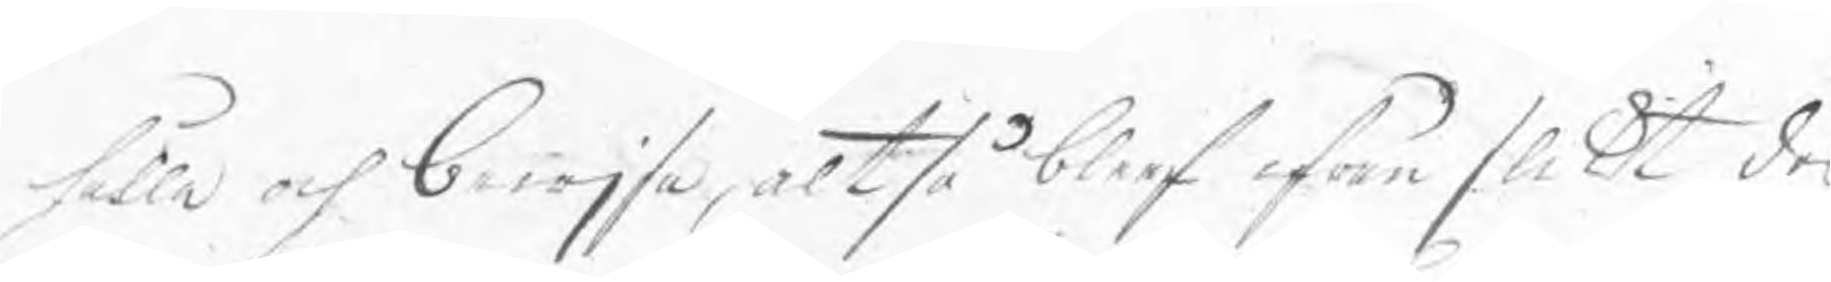hålla och bewjsa, altså bleef ifrån slikt des
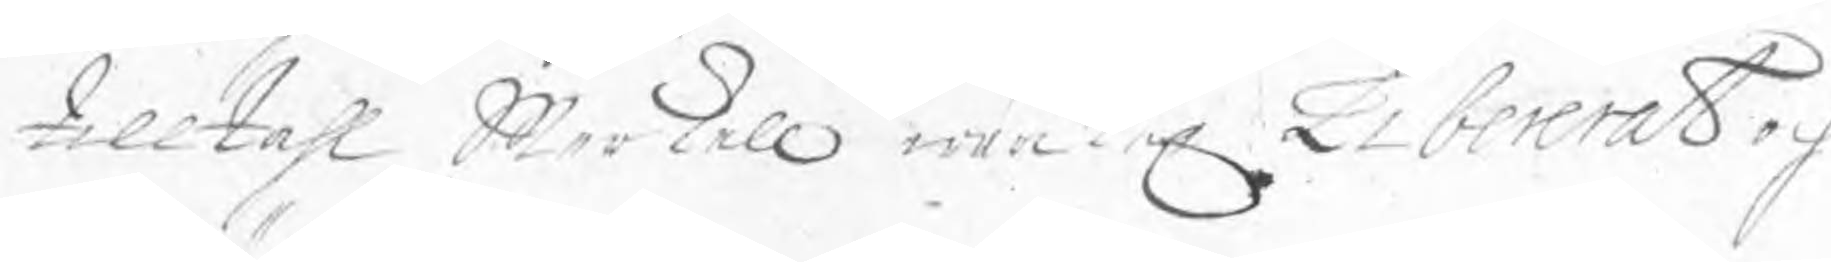tilltahl Merkell wärkel. Libererat och
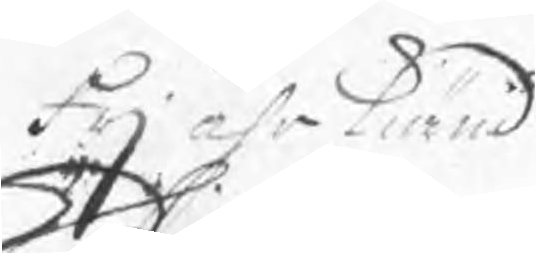Frj ährkiänd
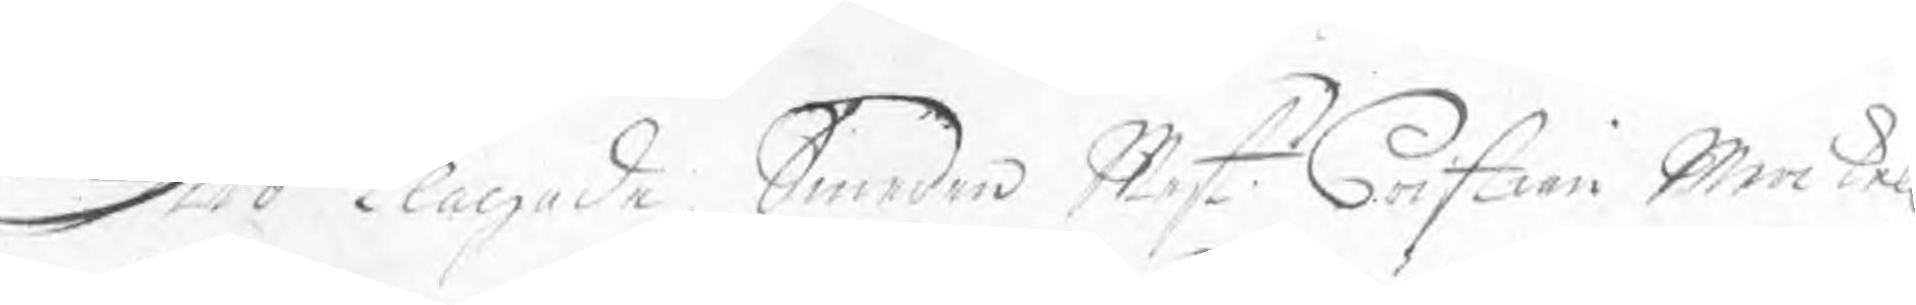Dito Klagade Smeden Mest Cristian Merkell
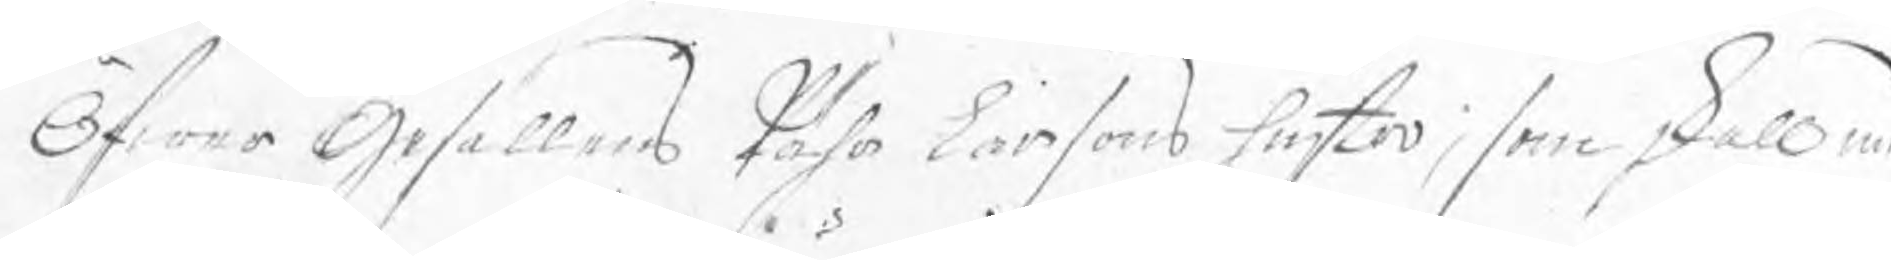Öfwer Gesellens Pähr Larsons hustro, som skall med
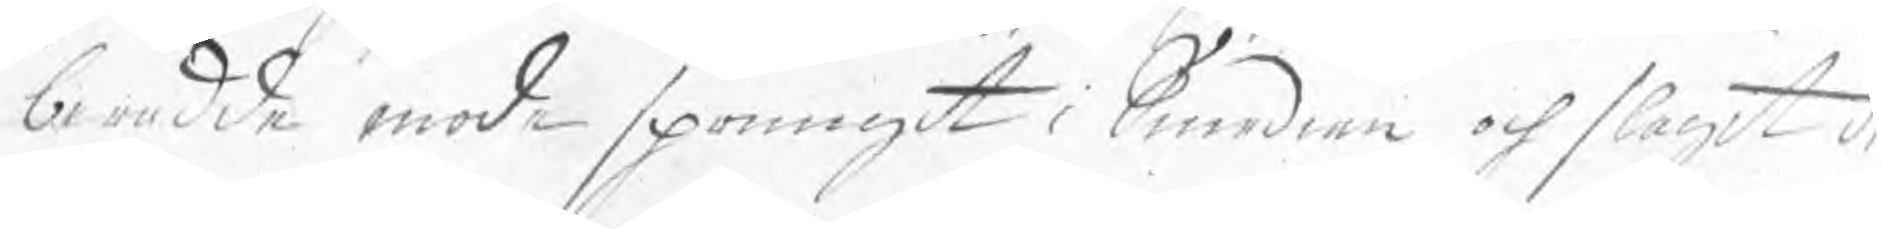berådde mode sprungit i Smedian och slagit de
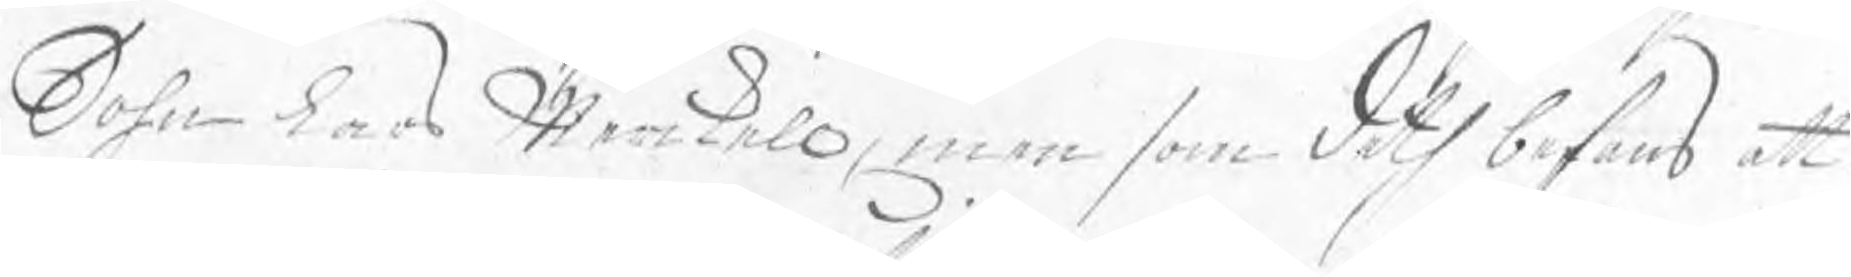Sohn Lars Merkell, men som deth befans att
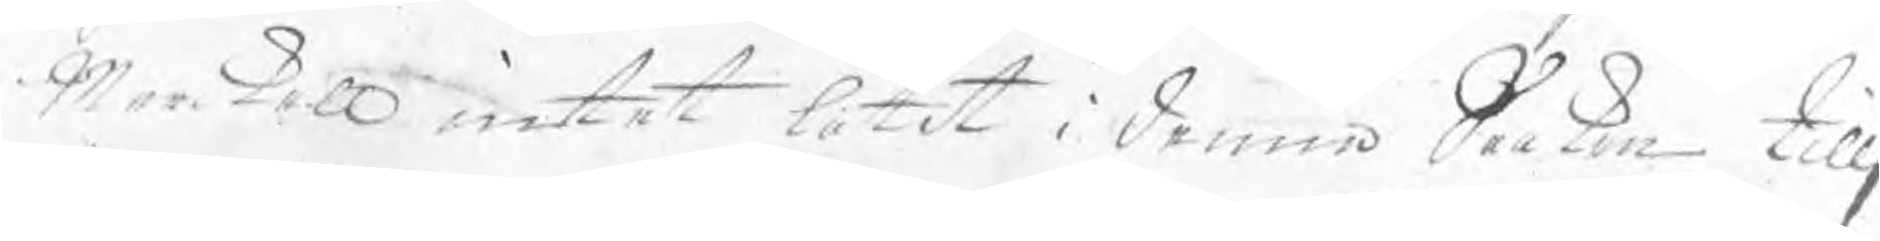Merkell intet låtit i denna Saaken tillj¬
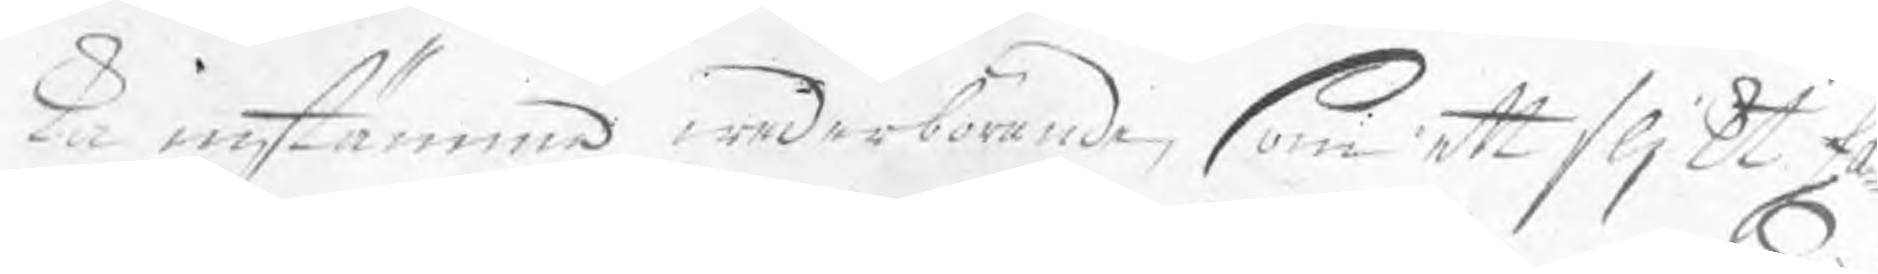ka instämma wederbörande, som ett slikt fa¬
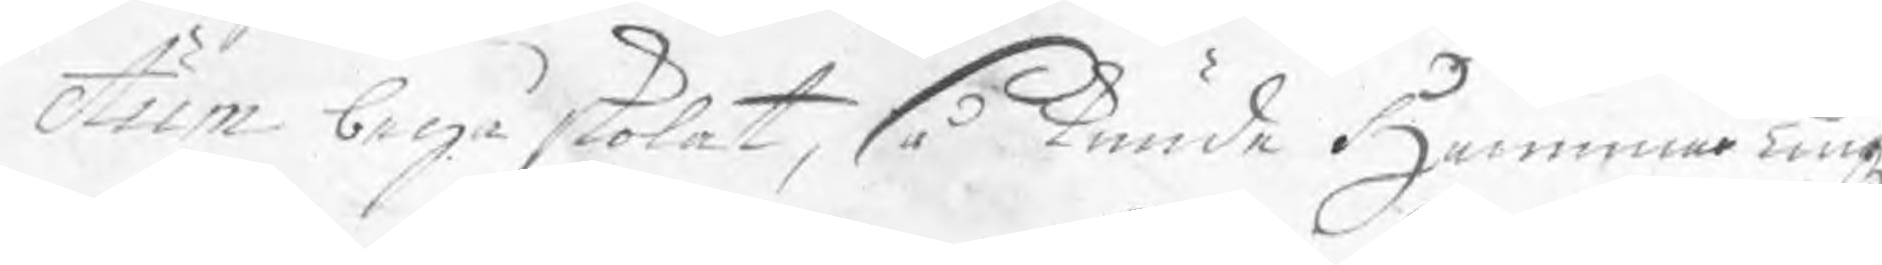ctum begå skolat, så kunde HammarTingz¬
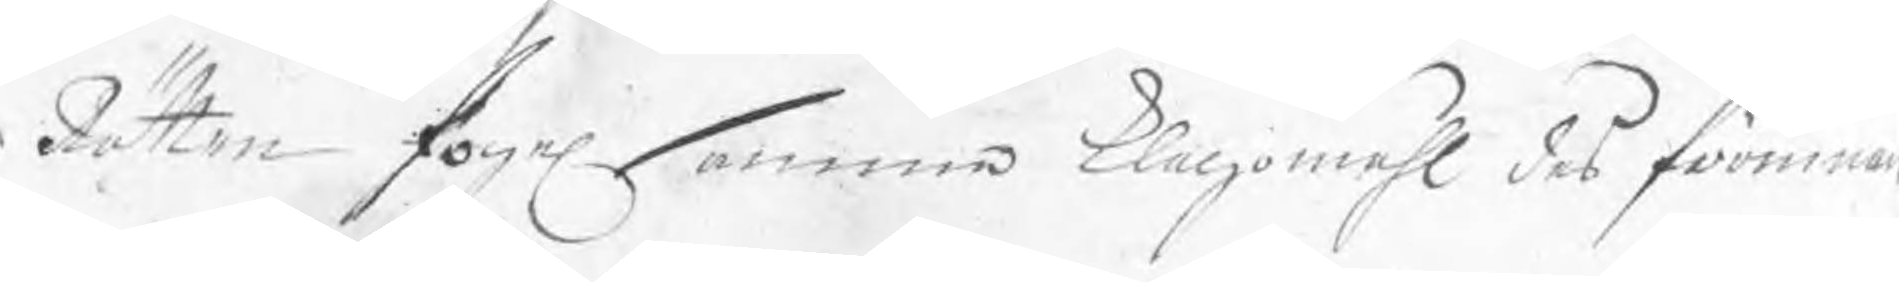Rätten fogel. samma klagomåhl des förinnan
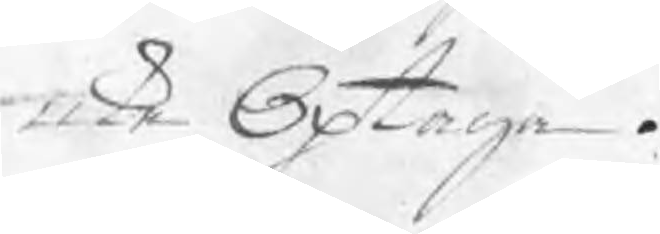icke Optaga.
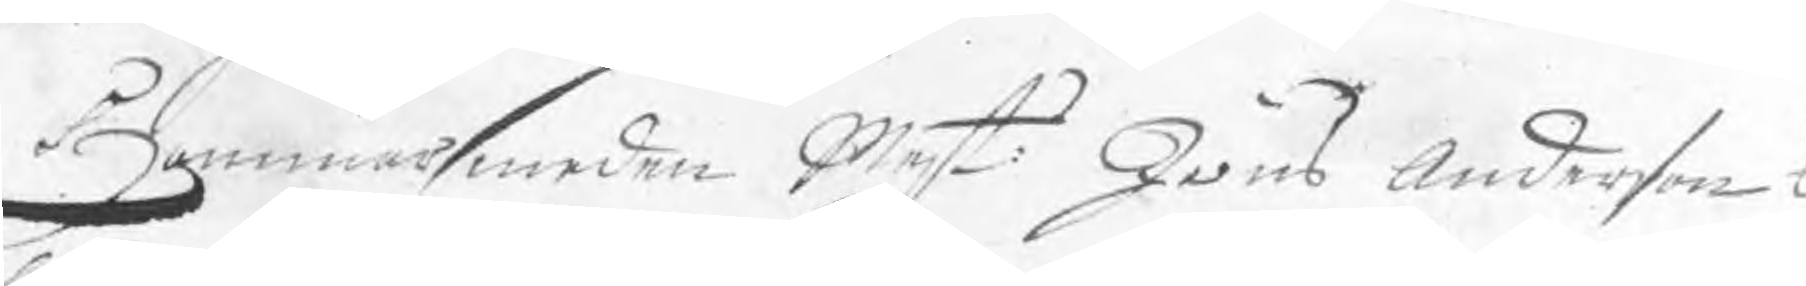Hammarsmeden Mest: Jöns Anderson t
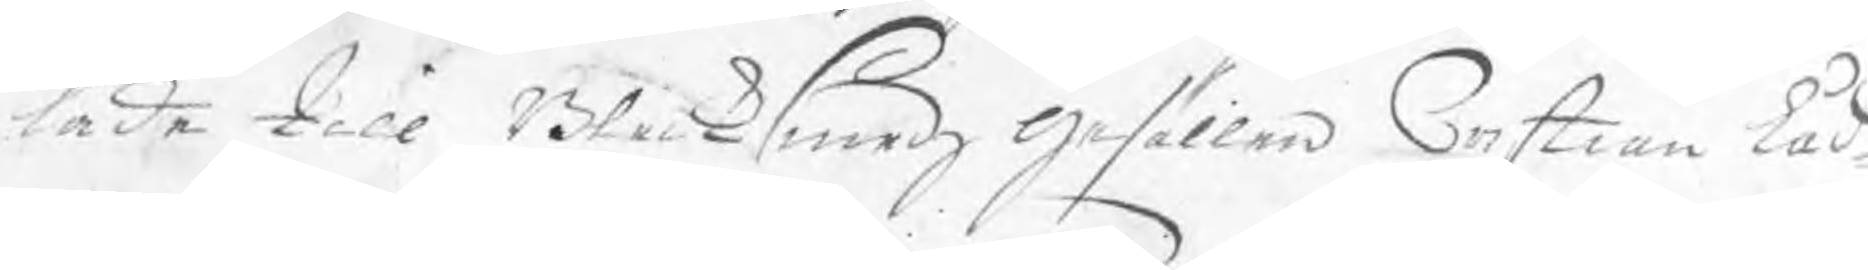lade till Blecksmedz Gesällen Cristian Låd¬
